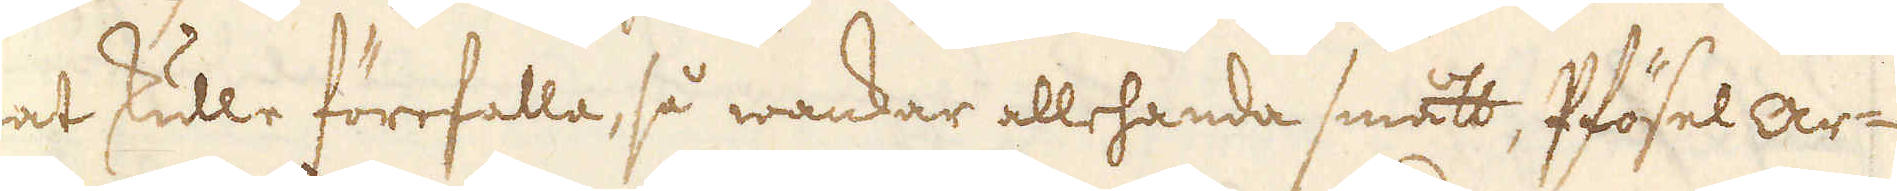nat skulle förefalla, så wankar allehanda smått, Pfösel ar-
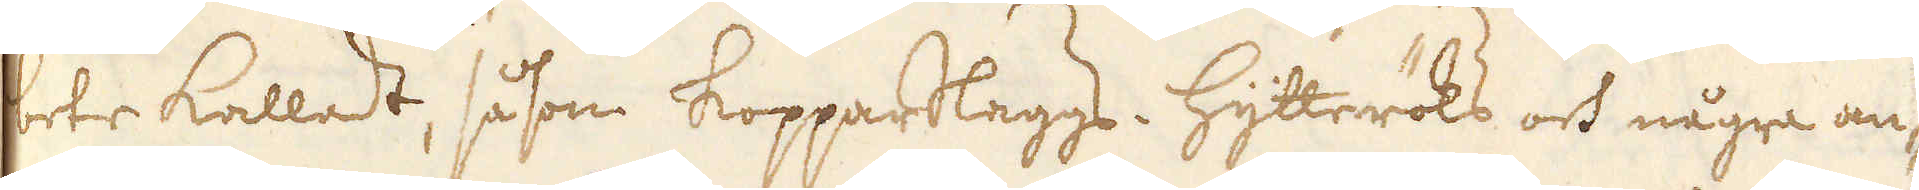bete kalladt, såsom kopparSlaggs, Hytteröks och några an-
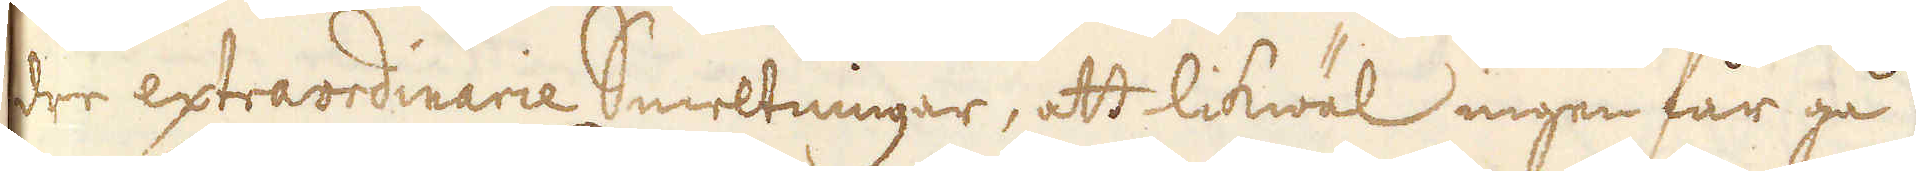dre extraordinarie Smeltningar, att likwäl ingen får gå
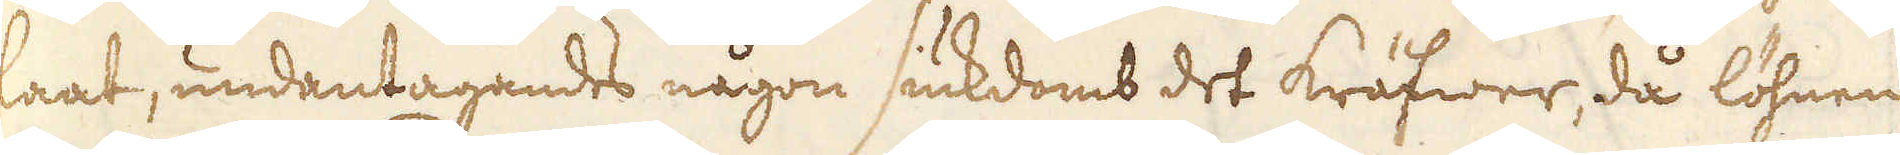laat, undantagandes någon siukdomb det kräfwer, då löhnen
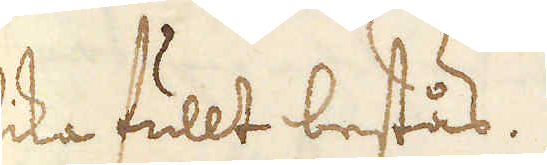lika fullt bestås.
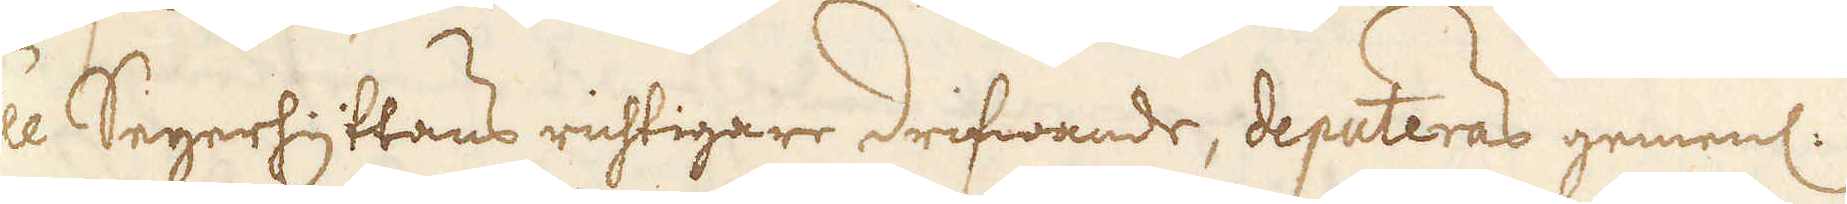Till Segerhyttans richtigare drifwande, deputeras gemenl:
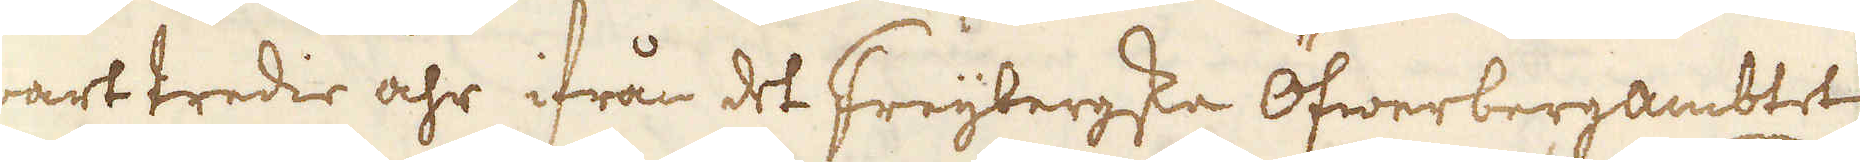hwart tredie åhr ifrån det Freybergska Öfwerbergambtet
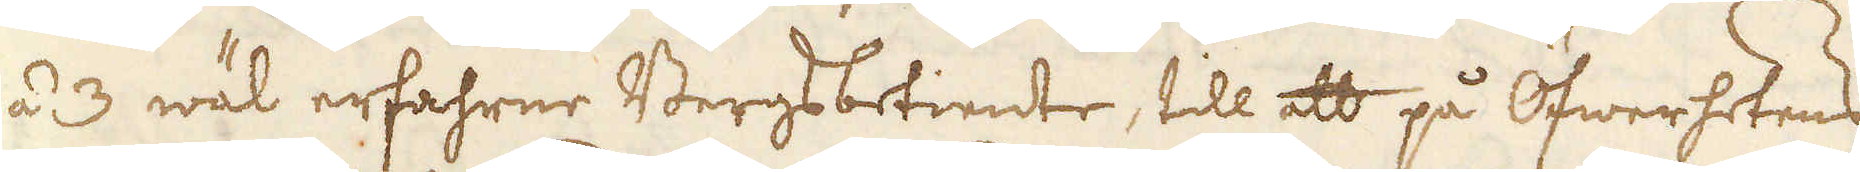2 á 3 wäl erfahrne Bergsbetiente, till att på Öfwerhetens
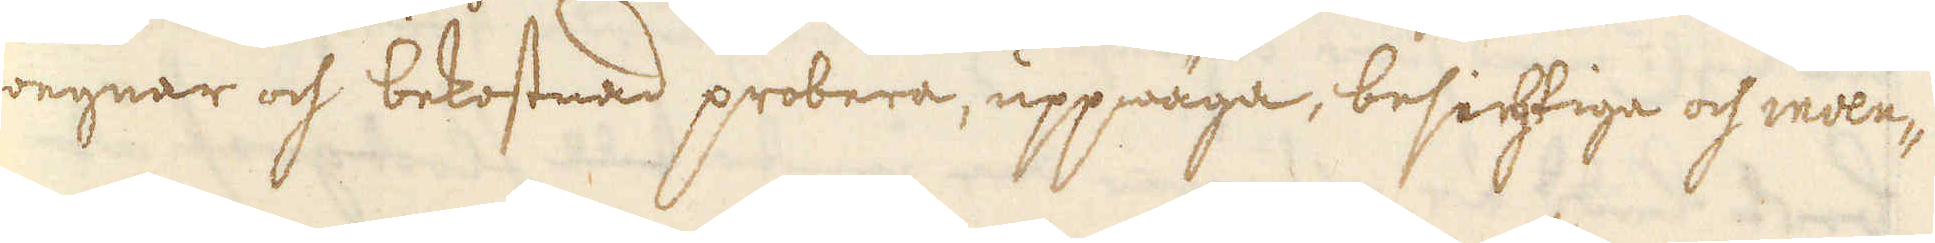wegnar och bekostnad probera, uppwäga, besihtiga och inven-
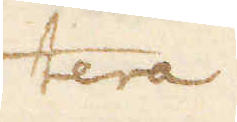tera
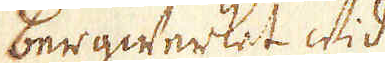bergwerket wid
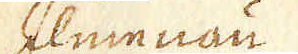Ilmenau
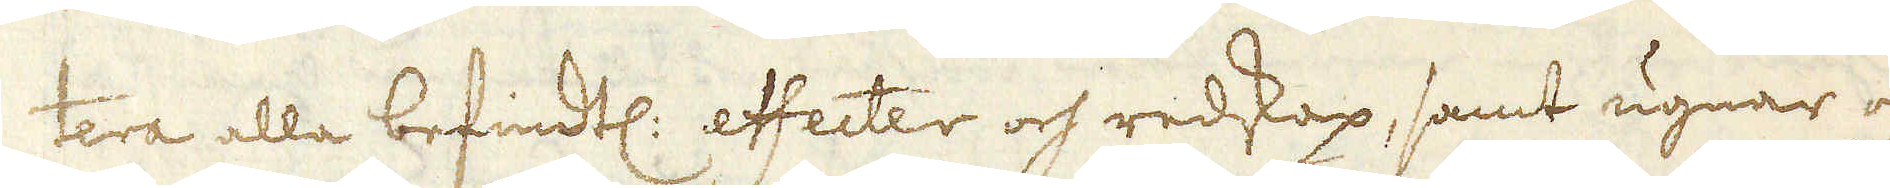tera alla befindtl: effecter och redskap, samt ugnar och
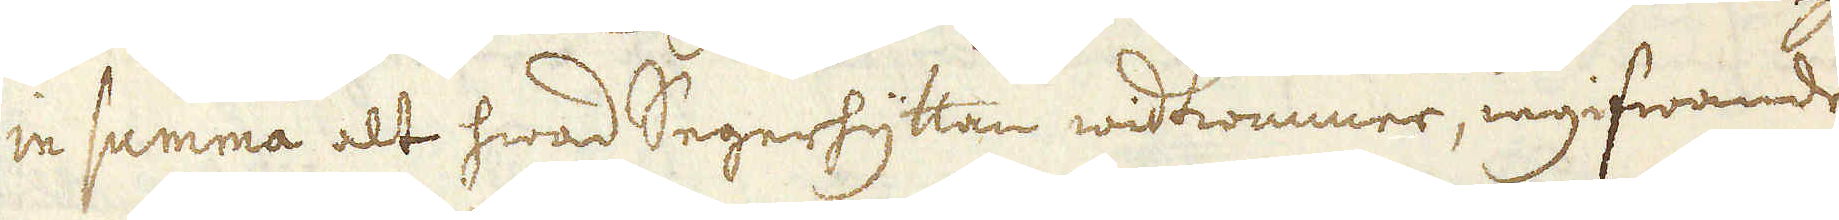in summa alt hwad Segerhyttan widkommer, ingifwandes
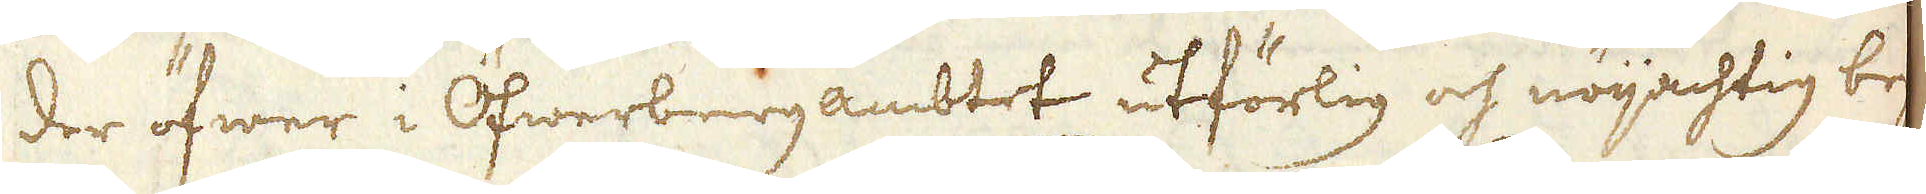der öfwer i Öfwerbergambtet utförlig och nöijachtig be-
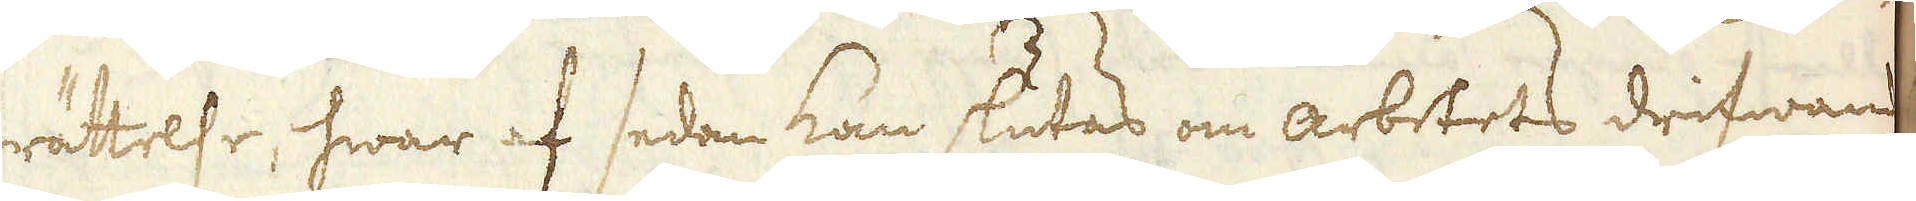rättelse, hwar af sedan kan slutas om arbetets drifwande
